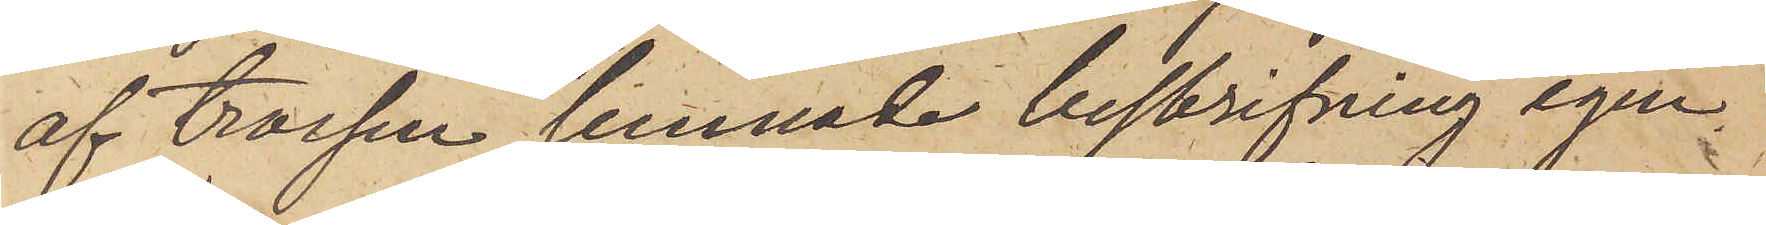af trossen lemnade beskrifning igen¬
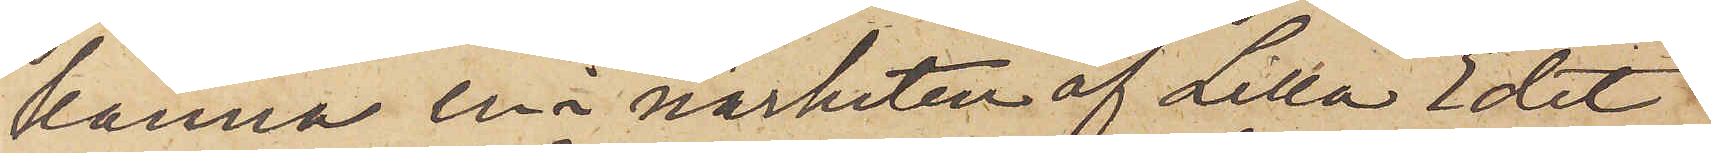känna en i närheten af Lilla Edet
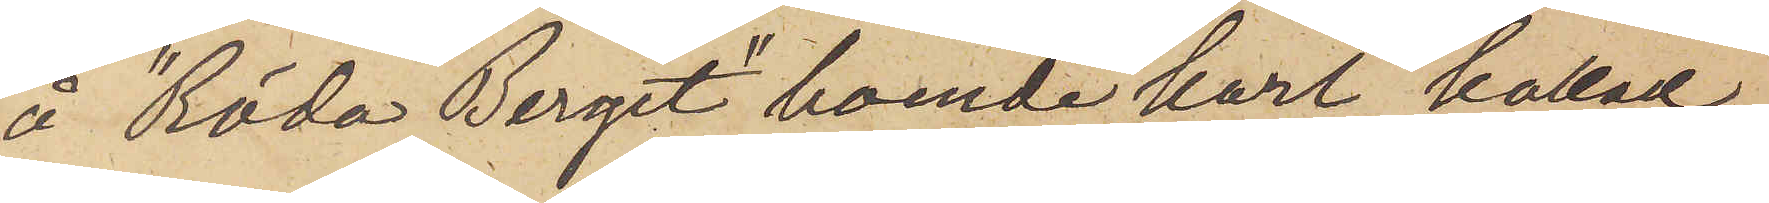å "Röda Berget" boende karl kallad
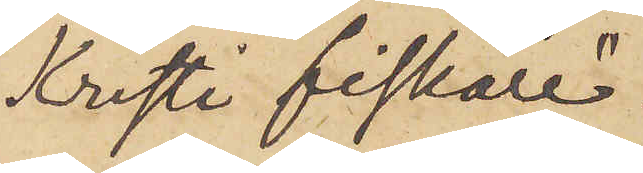"Kristi fiskare".
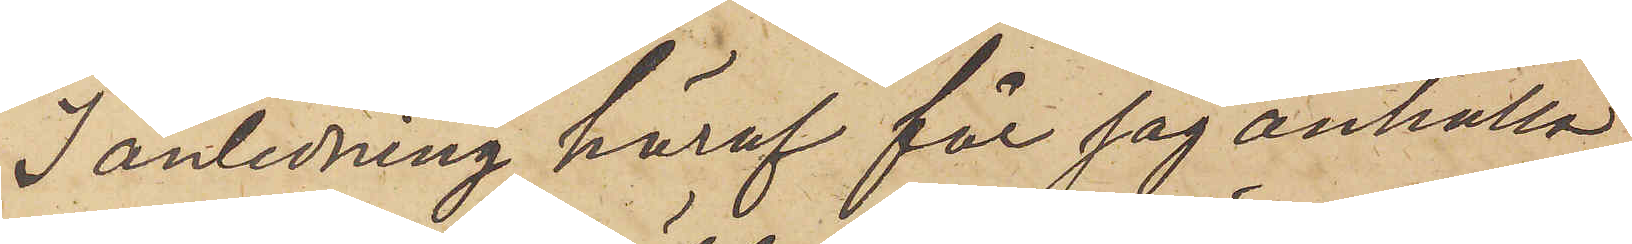I anledning häraf får jag anhålla
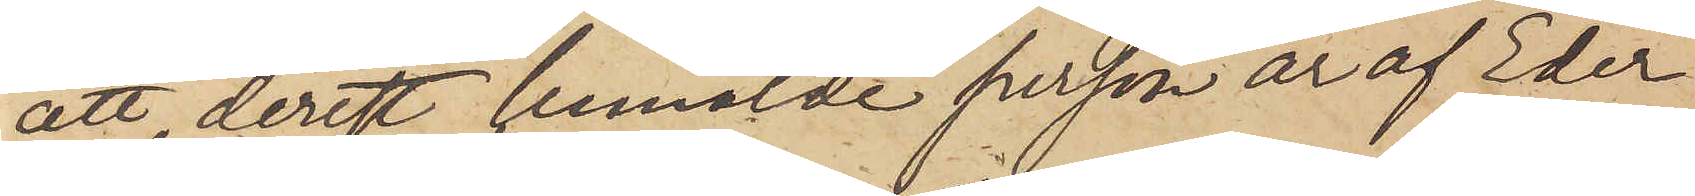att, derest bemälde person är af Eder
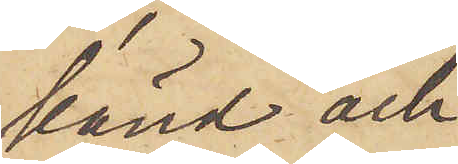känd och
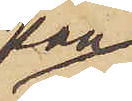kan
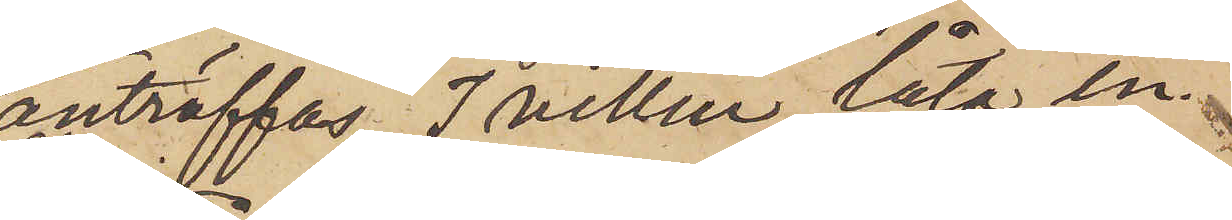anträffas, I villen låta in¬
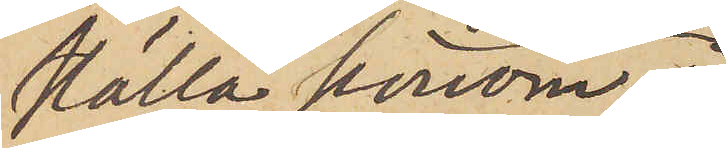ställa honom å
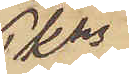Pkns
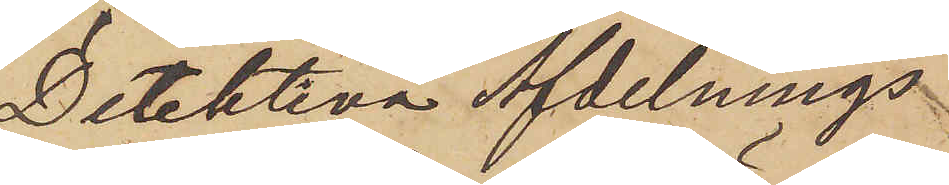Detektiva Afdelnings
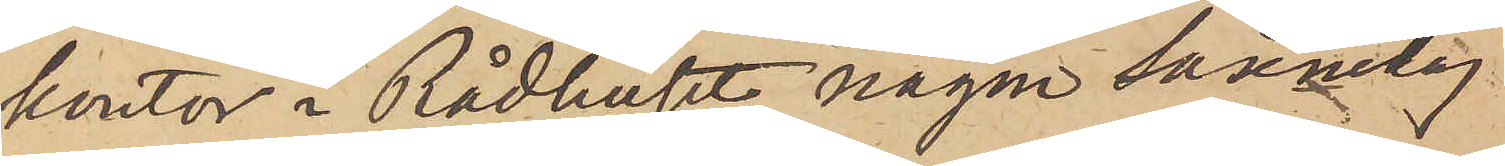kontor i Rådhuset någon söknedag
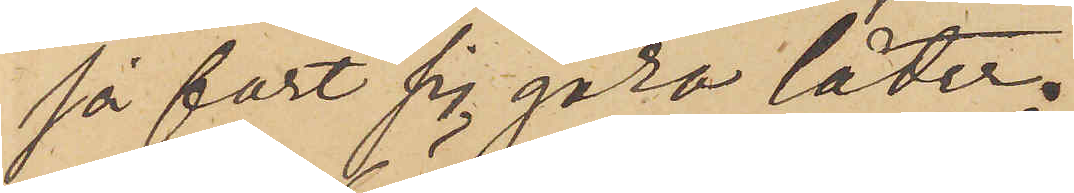så fort sig göra låter.
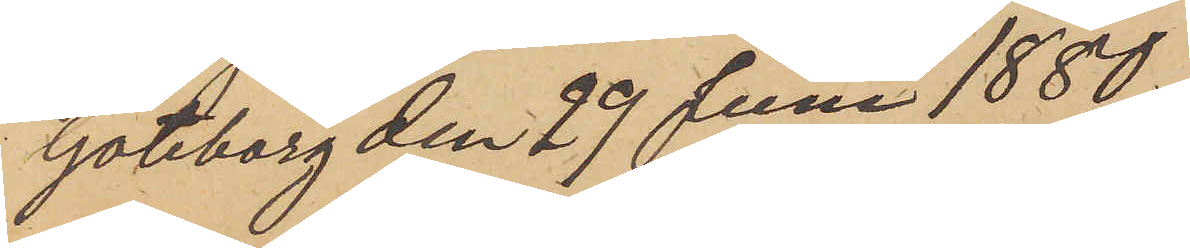Göteborg den 29 Juni 1880.
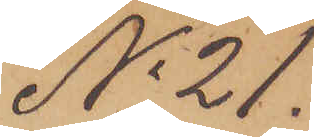No 21.
